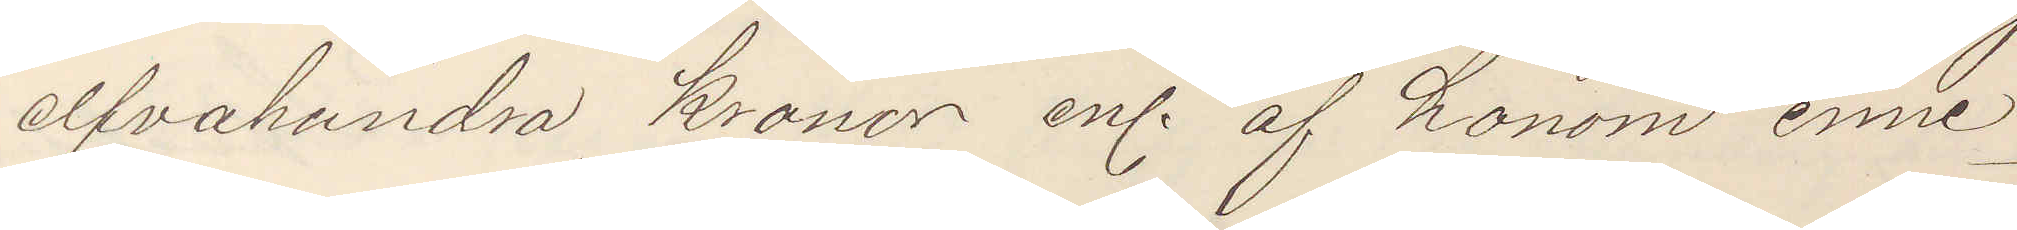elfvahundra kronor enl. af honom inne¬
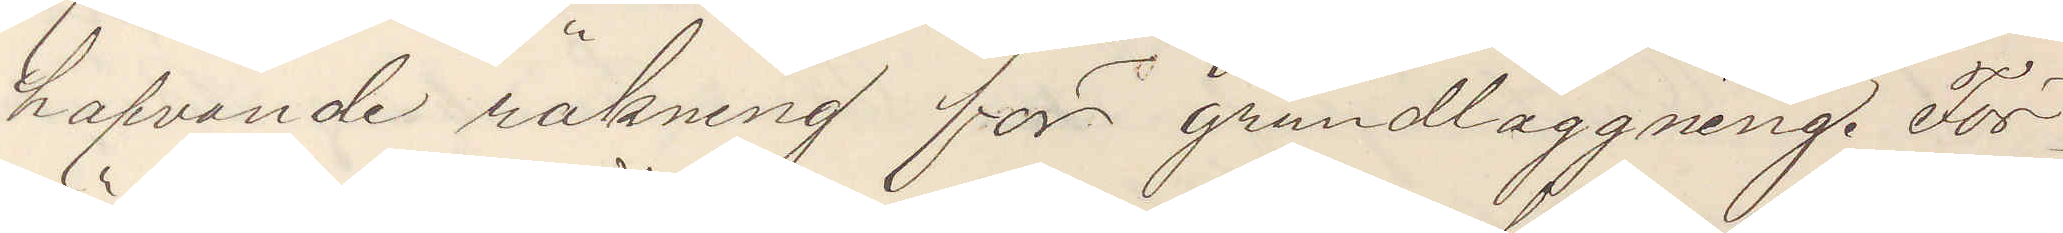hafvande räkning för grundläggning. För¬
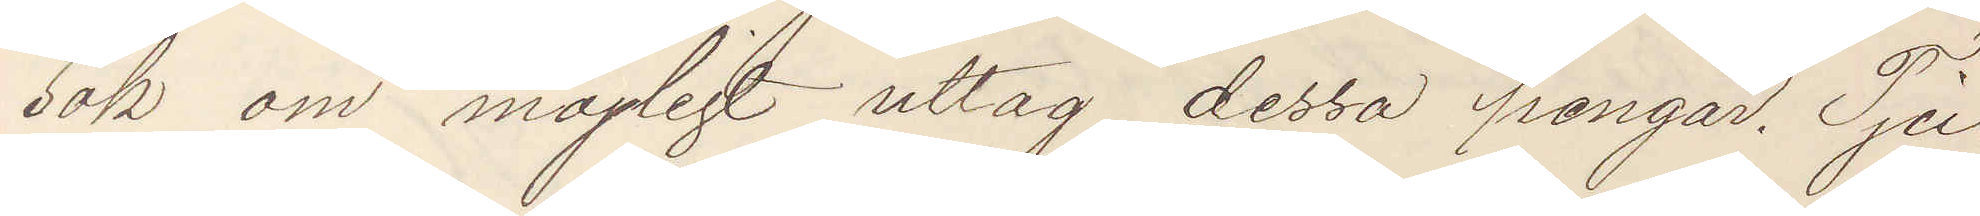sök om möjligt uttag dessa pengar. Tju¬
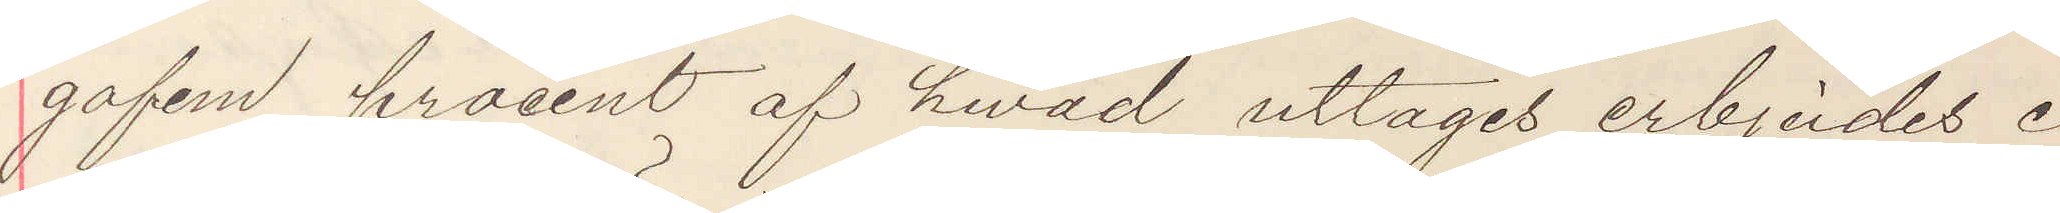gofem procent af hvad uttages erbjudes i
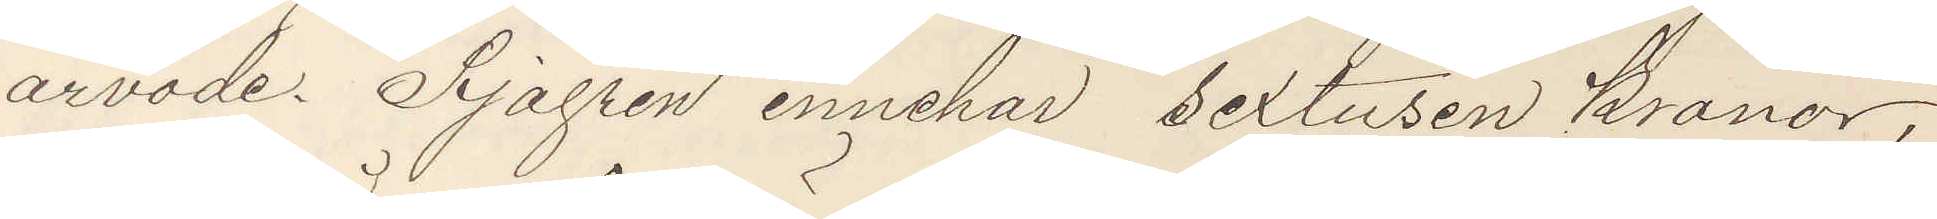arvode Sjögren innehar sextusen kronor,
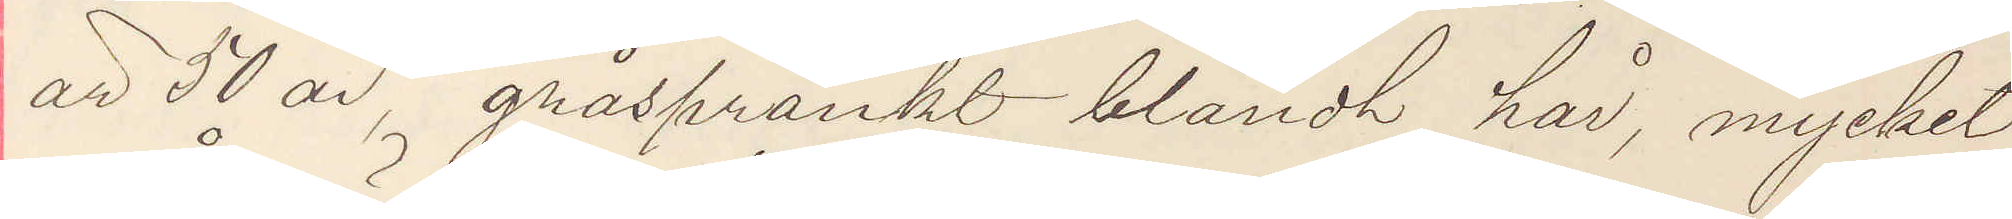är 50 år gråspränkt blåndt hår, mycket
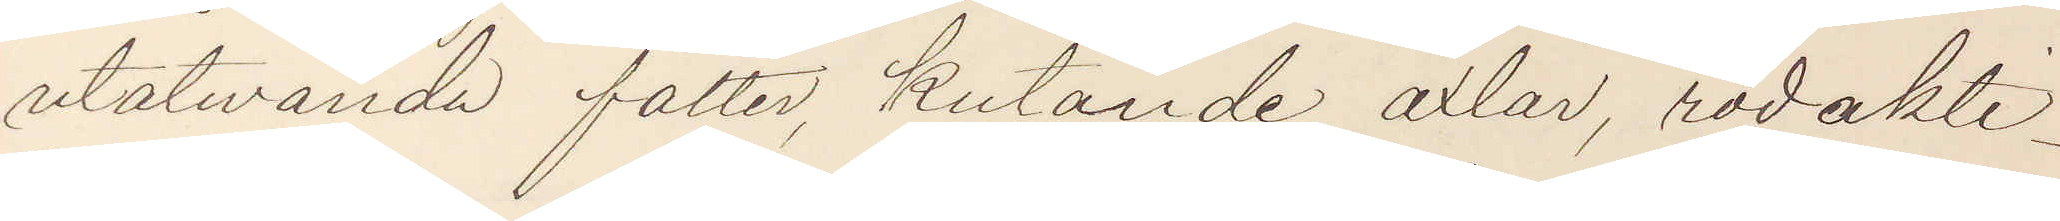utåtvända fötter, kutande axlar, rodakti¬
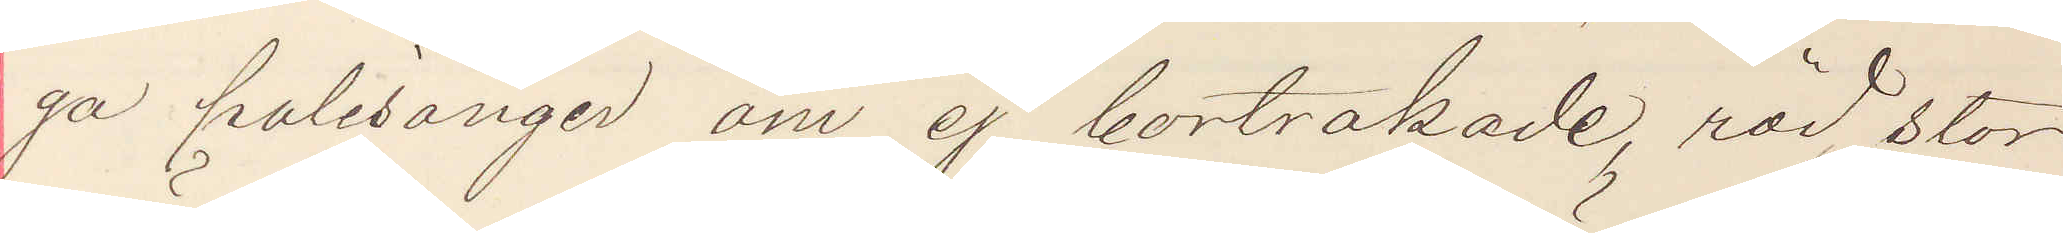ga polisonger om ej bortrakade, röd stor
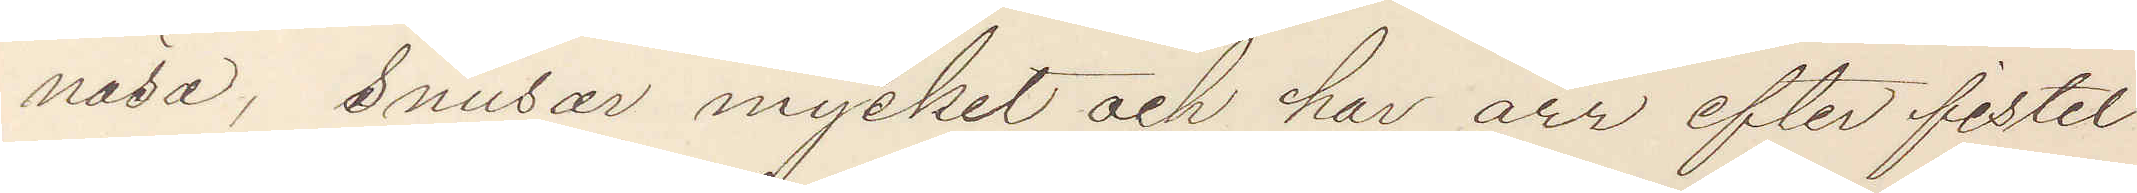näsa, snusar mycket och har ärr efter fistel
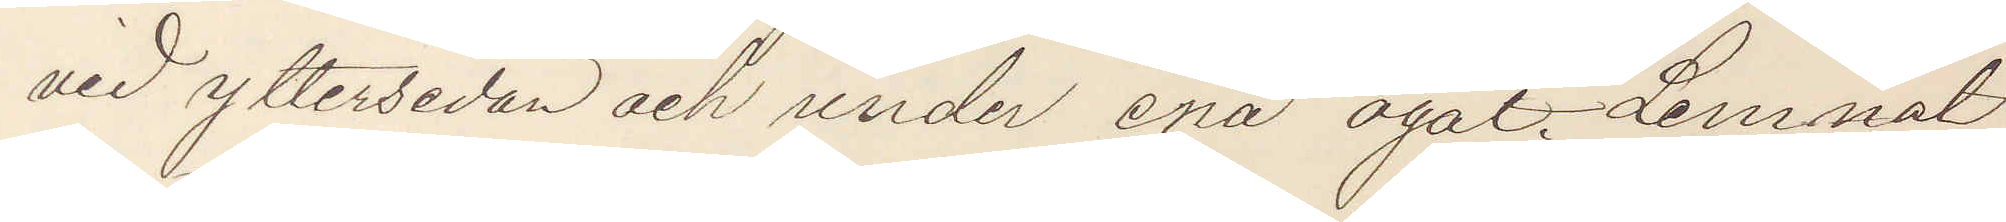vid yttersidan och under ena ögat. Lemnat
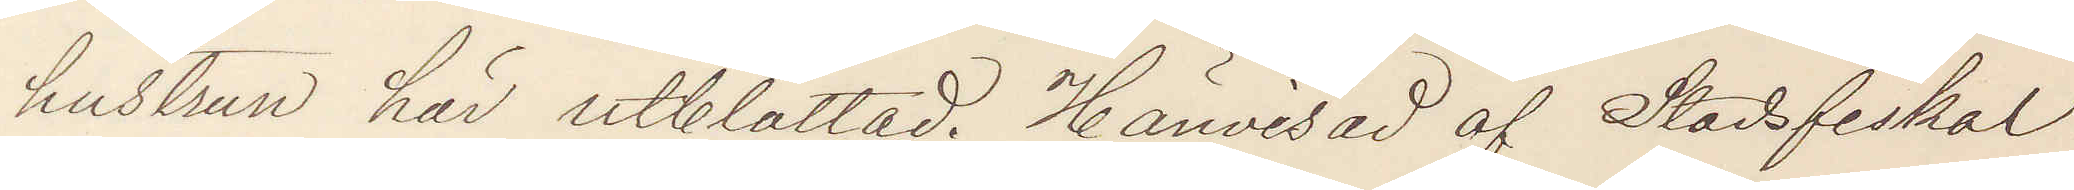hustrun här utblottad. Hänvisad af Stadsfiskal
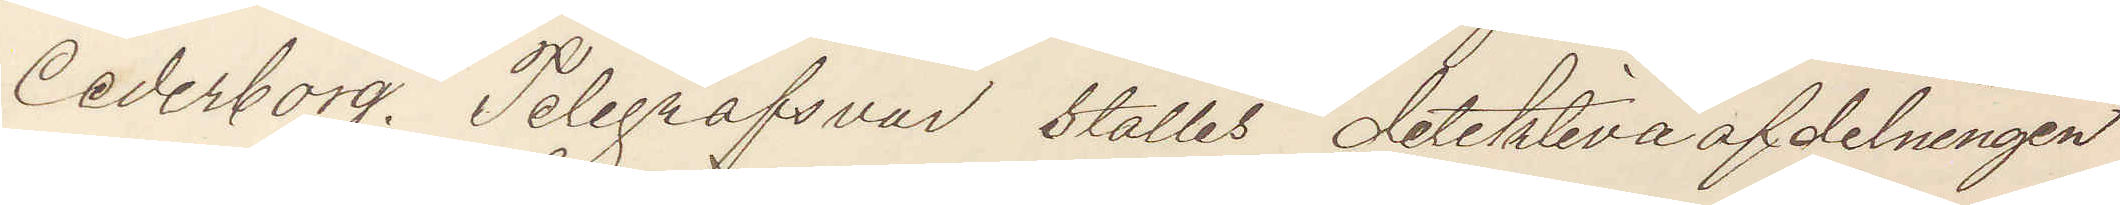Cederborg. Telegrafsvar ställes detektiva afdelningen
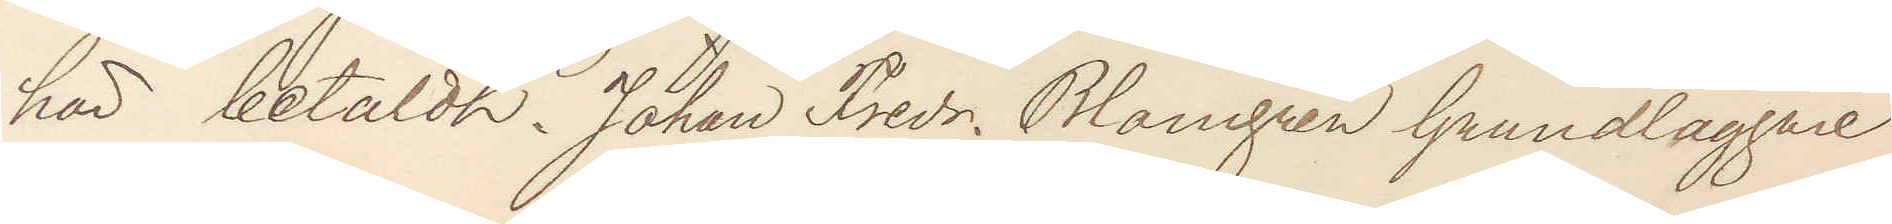här betaldt. Johan Fredr. Blomgren Grundläggare
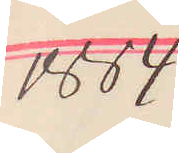1884
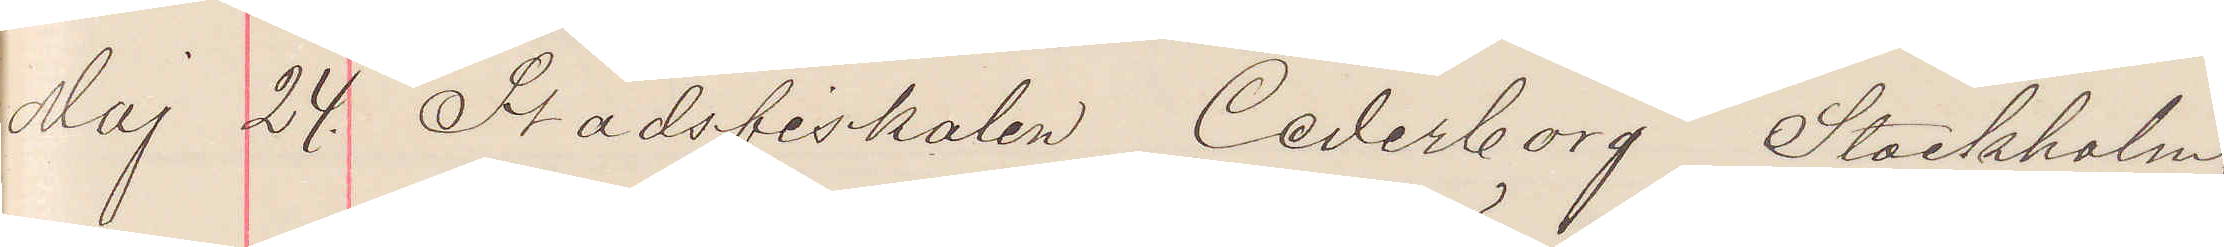Maj 24. Stadsfiskalen Cederborg Stockholm.
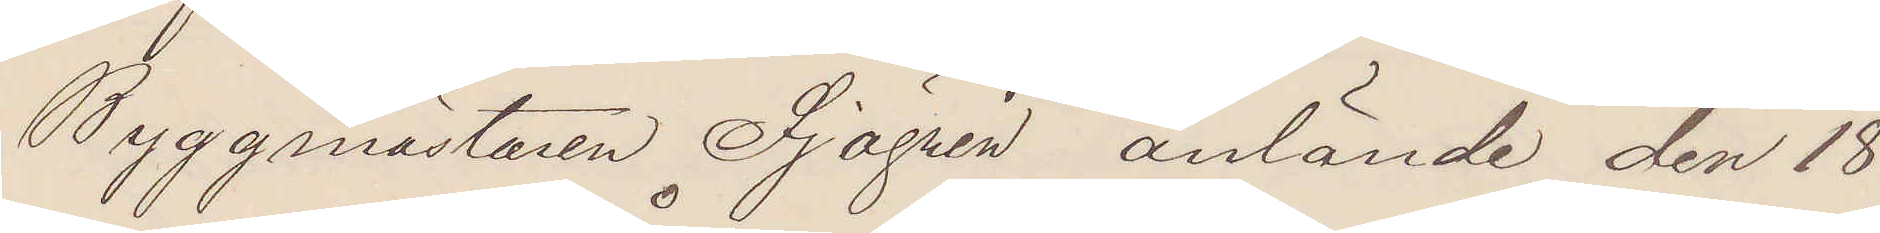Byggmästaren Sjögren anlände den 18
